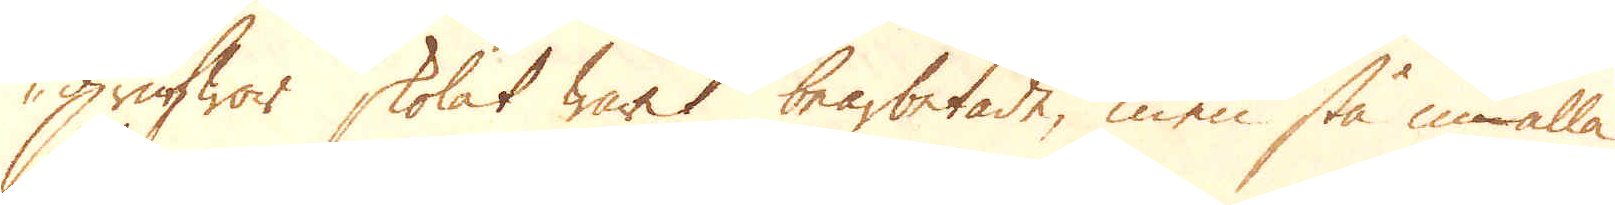grufwor skolat warit bearbetade, men stå nu alla
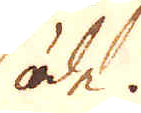öde.
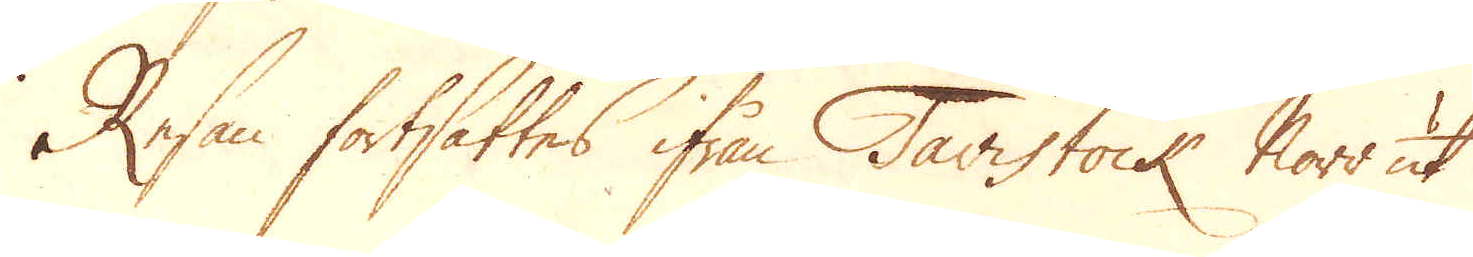Resan fortsattes ifrån Tavistock Norr ut
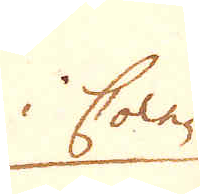i Corn-
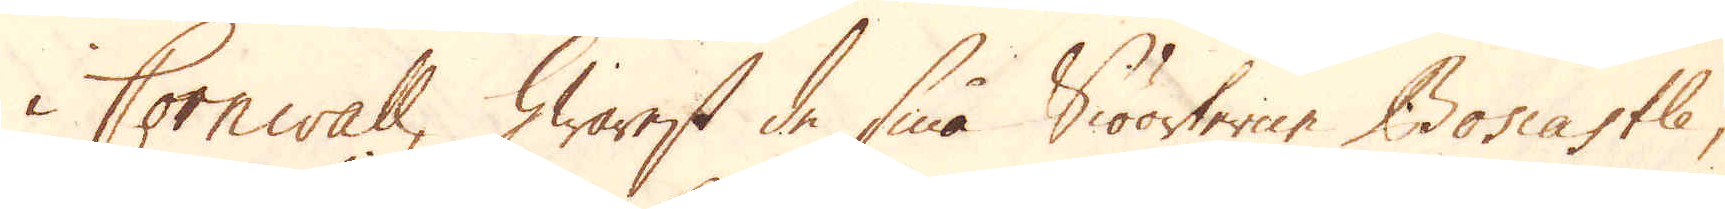i Cornwall, hwarest de små Siöorterne Boscastle,
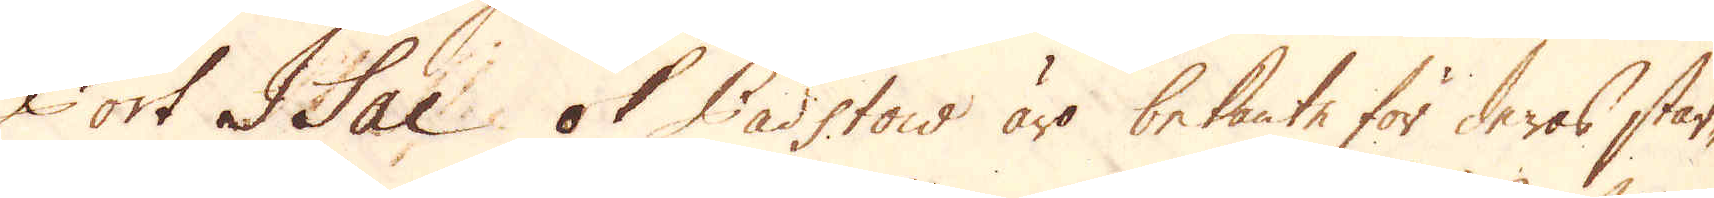Port Isac ok Padstow äro bekante för deras star-
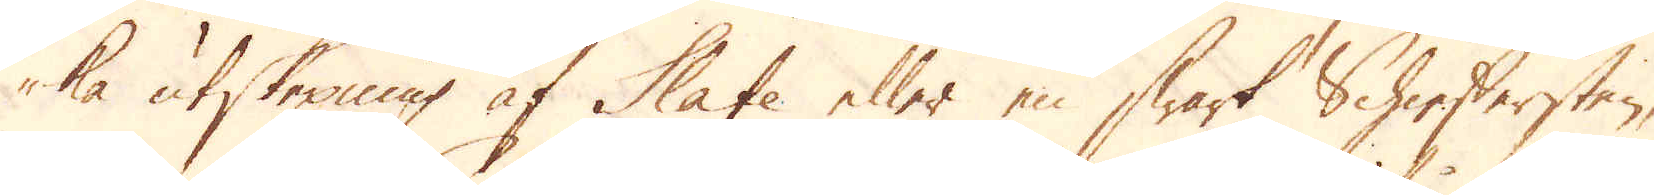ka utskepning af Slate eller en swart Schieffersten,
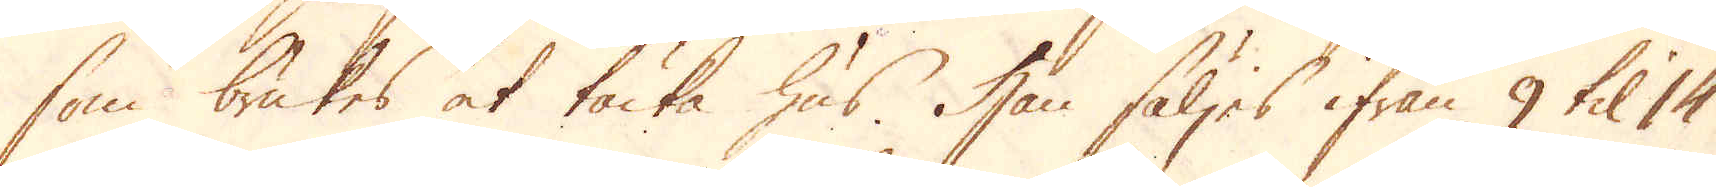som brukes at täcka hus. Han säljes ifrån 9 til 14
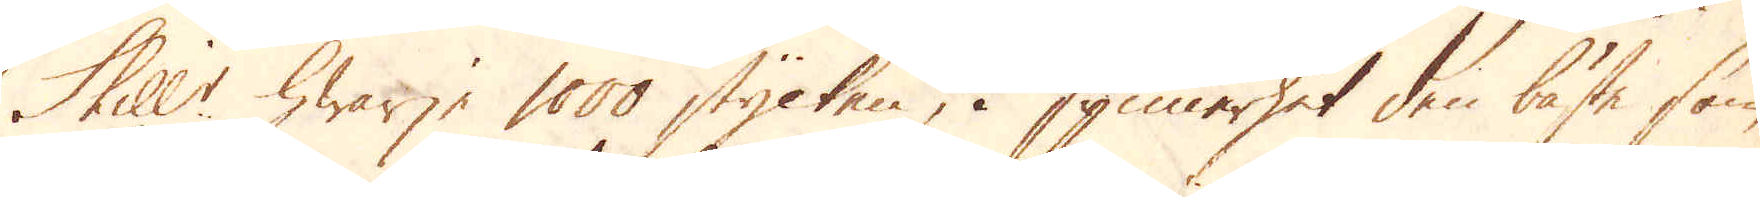Skill:r hwarje 1000 stycken, i synnerhet den bäste som
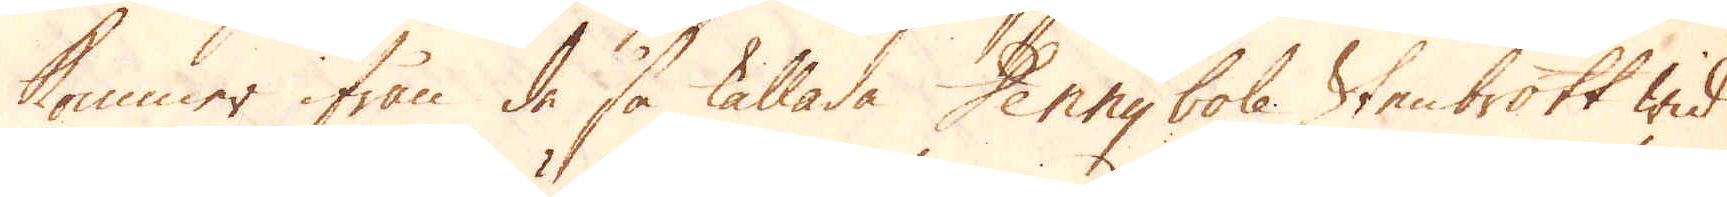kommer ifrån de så kallade Dennybole Stenbrott wid
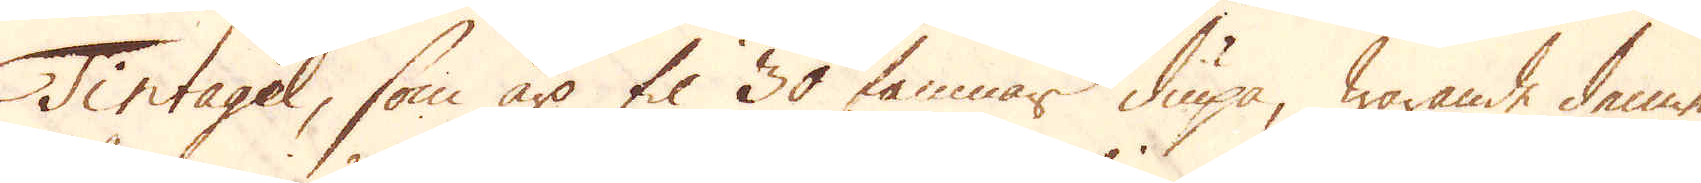Tintagel, som äro til 30 famnar diupa, warande denne
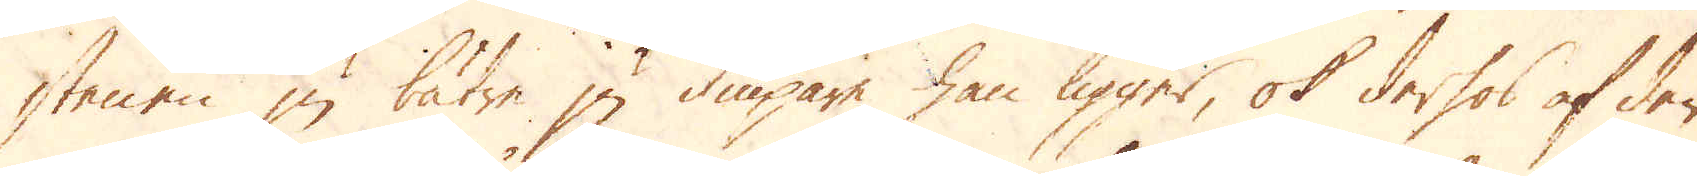stenen ju bätre ju diupare han ligger, ok derhos af den
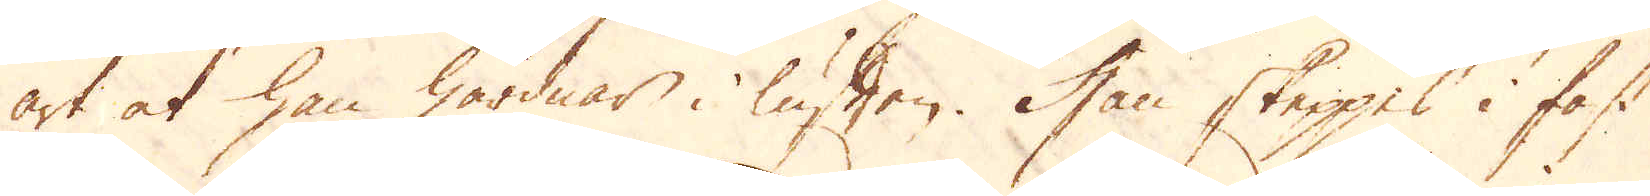art at han hårdnar i luften. Han skeppes i fast
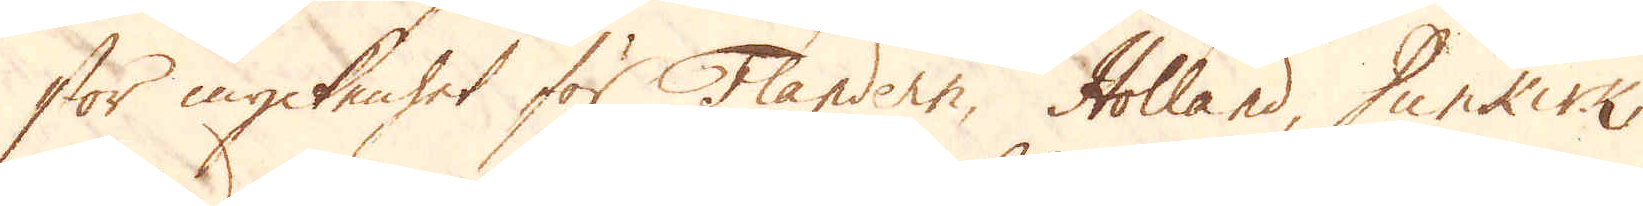stor myckenhet för Flandern, Holland, Dunkirk,
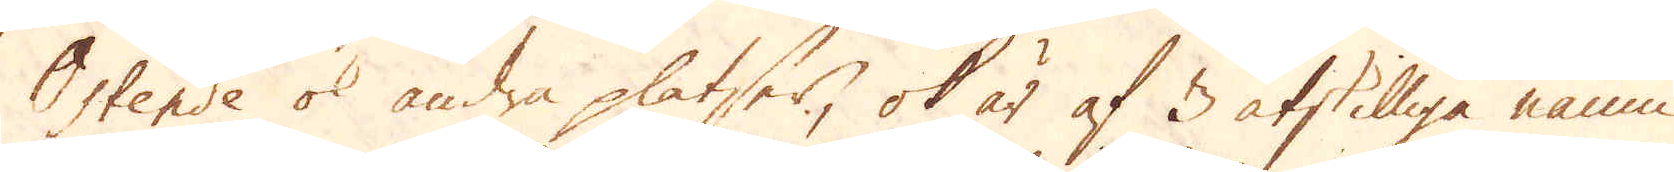Ostende ok andra platser, ok är af 3 åtskilliga namn
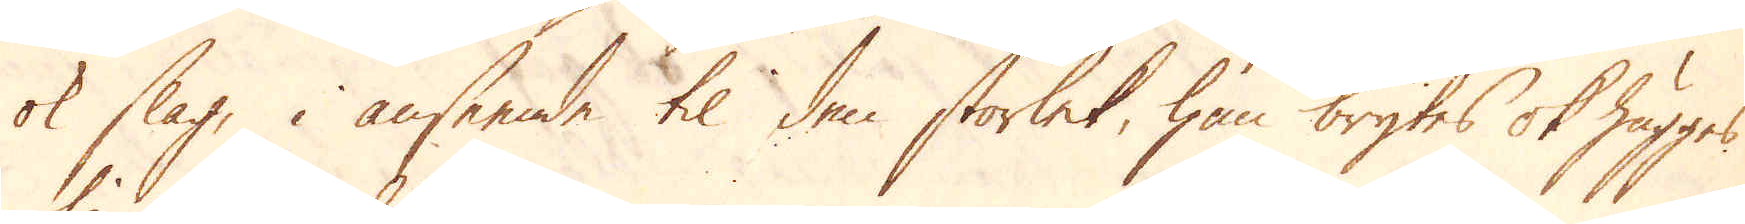ok slag, i anseende til den storlek, han brytes ok hugges
